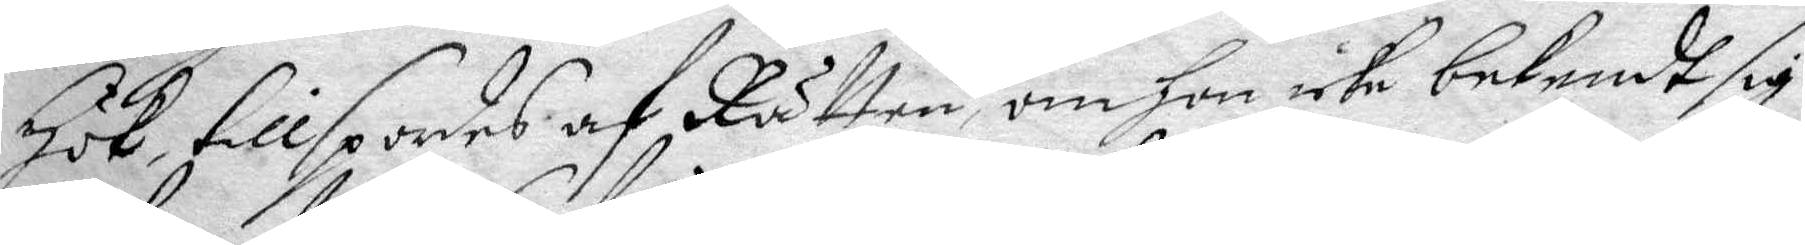Hök, tillspordes af Rätten om hon icke bekendt sig
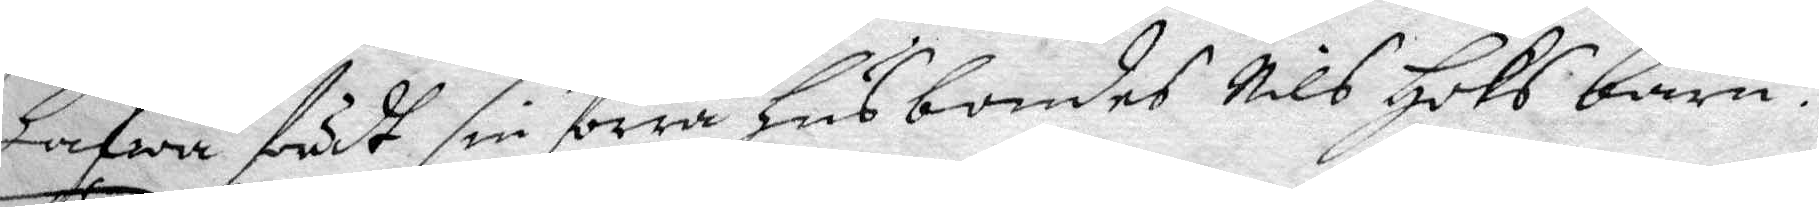hafwa fördt sin förra husbondes NIls Höks barn?
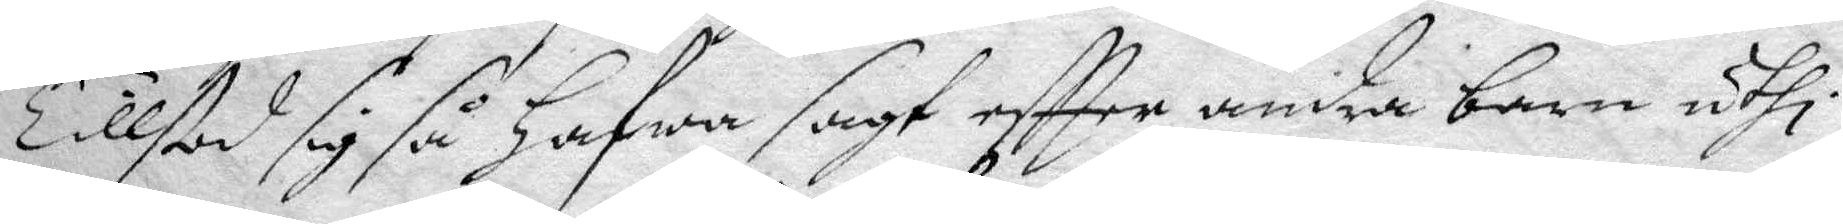Tillstod sig så hafwa sagt eftter andra barn uthi
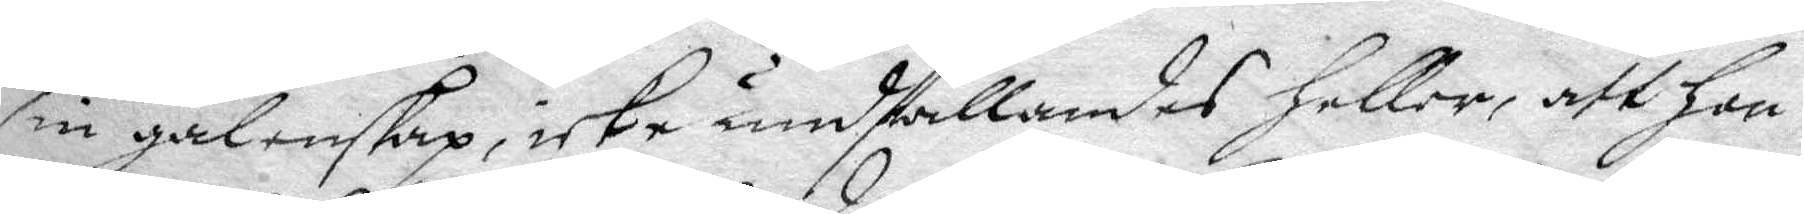sin galenskap, icke undfallandes heller, att hon
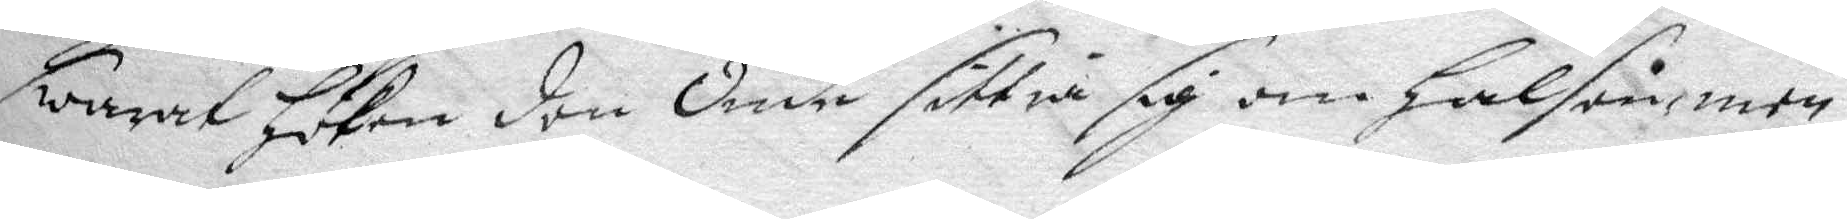swarat Höken den Onde sittia sig om halsen, men
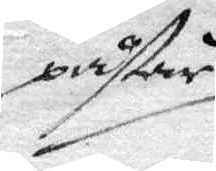påstår
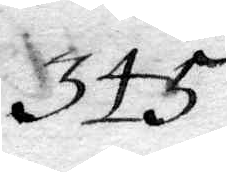345.
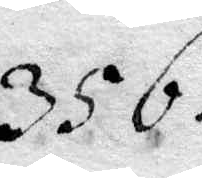356.
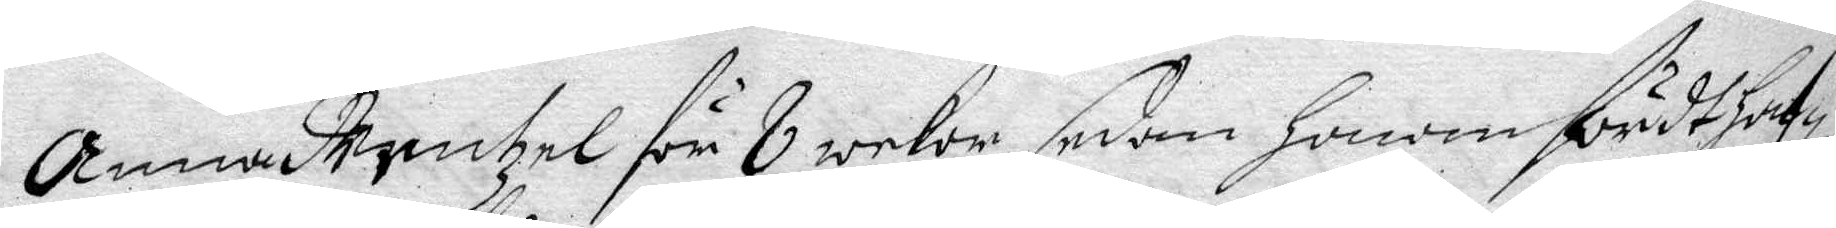Anna Wentzel för 8 wekor sedan honom fördt haf¬
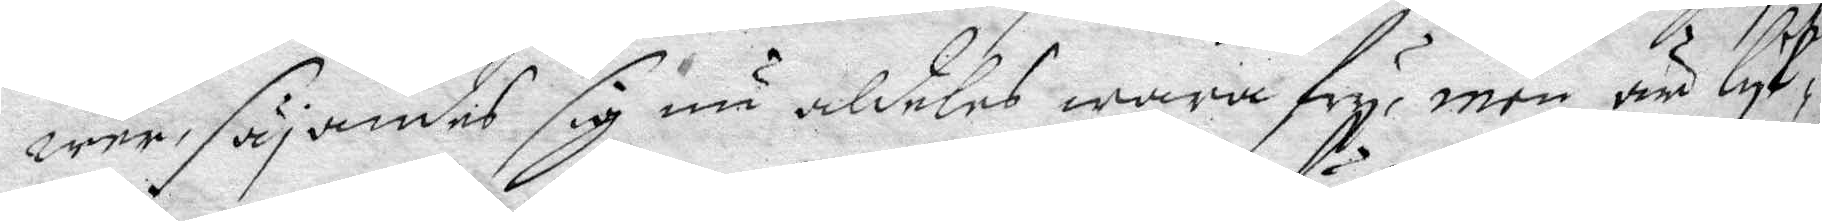wer, säjandes sig nu aldeles wara fry, men än lyk¬
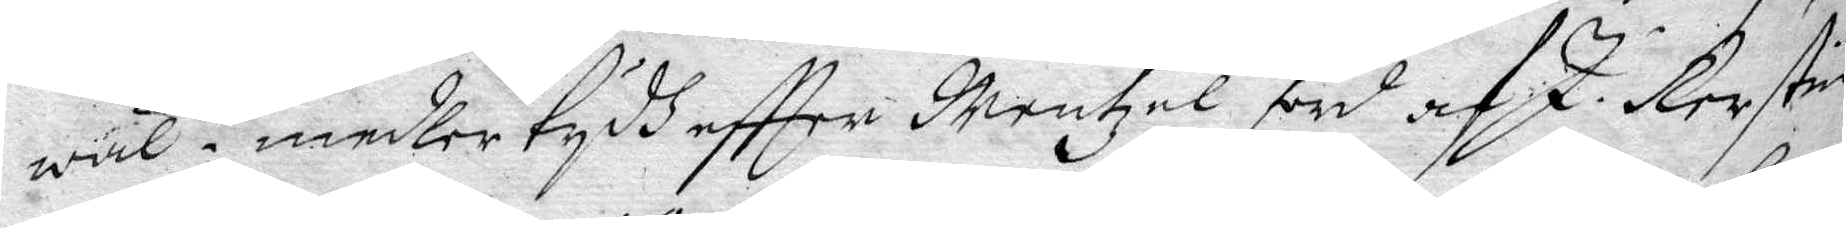wäl i medler tydh eftter Wentzel förd af J Kerstin
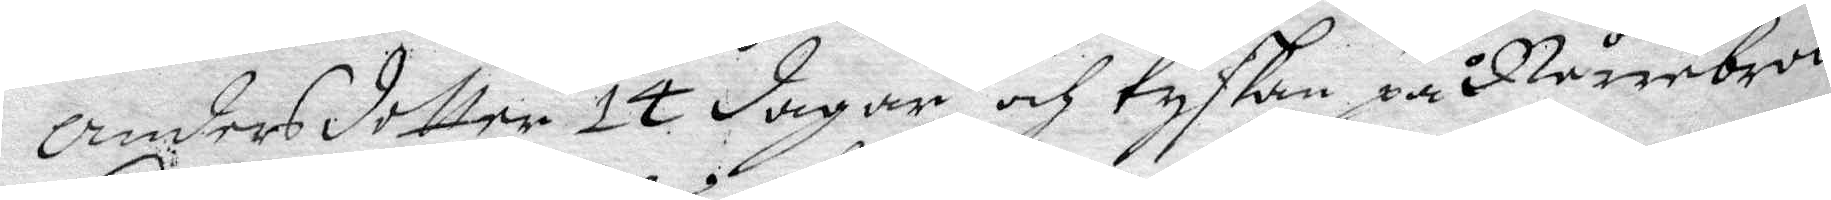Andersdotter 14 dagar och tyskan på Nårrbroo
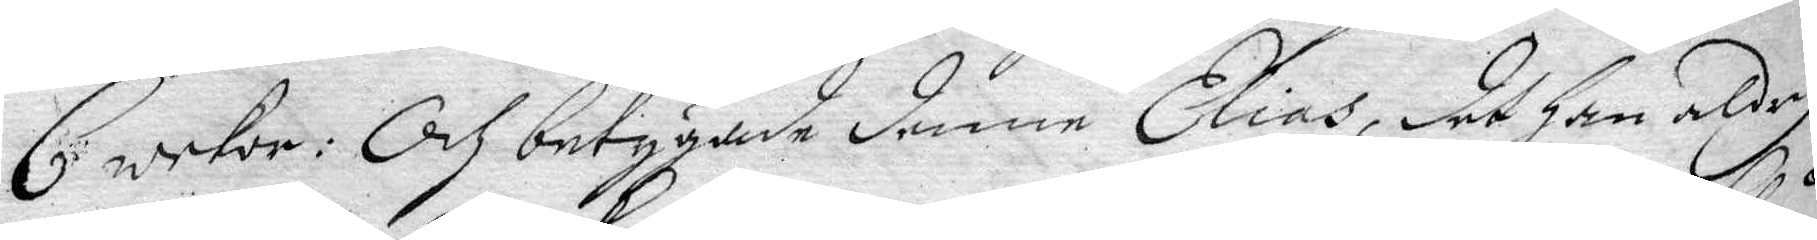6 wekor: Och betygade denne Elias, det han aldrig
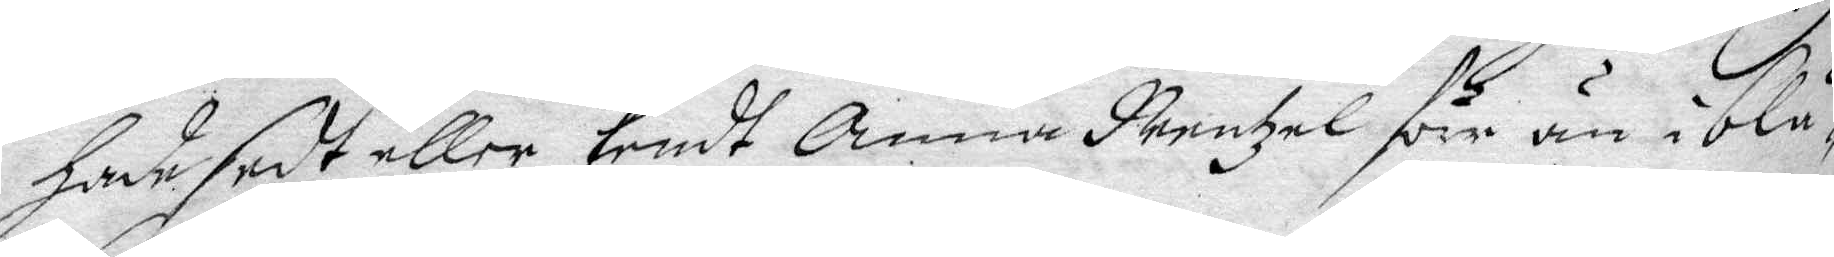har sedt eller Kendt Anna Nentzel förr än i blå¬
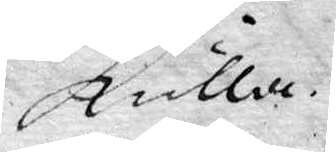kulla.
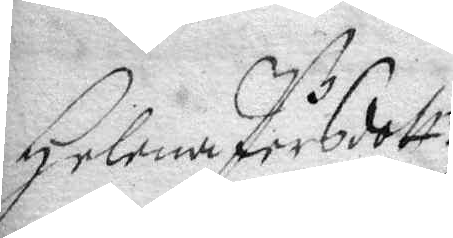Helena Pärsdott.r
